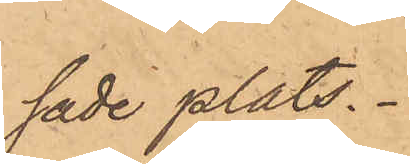sade plats.
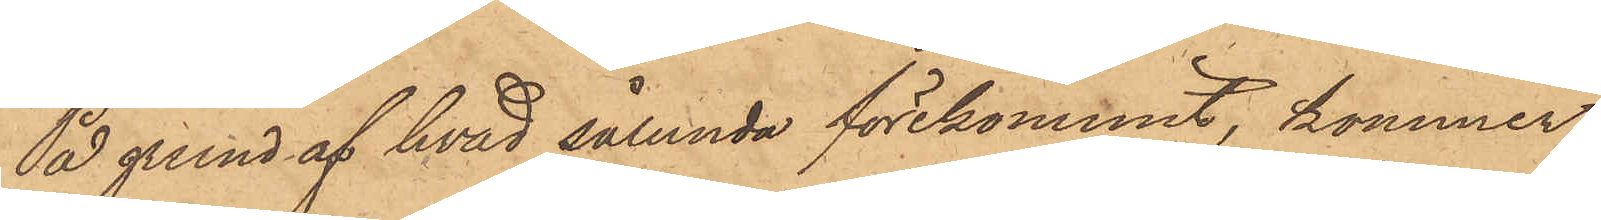På grund af hvad sålunda förekommit, kommer
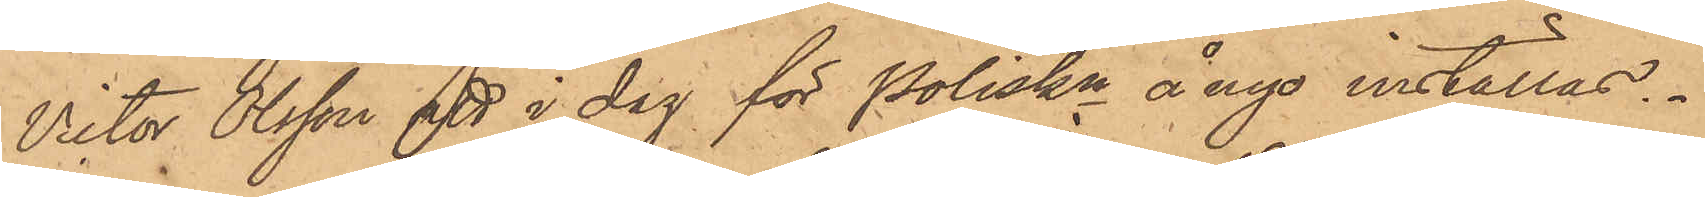Victor Olsson att i dag för Poliskn ånyo inställas.
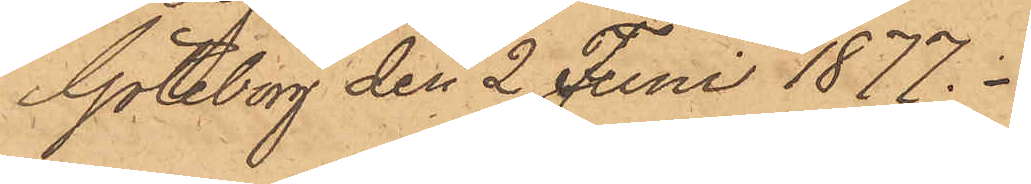Göteborg den 2 Juni 1877.
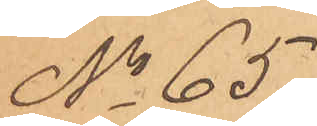No 65
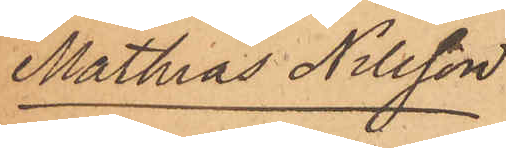Mathias Nilsson
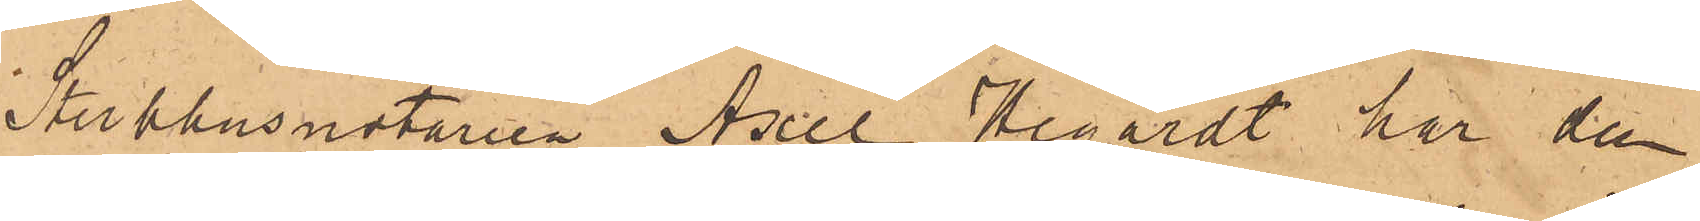Sterbhusnotarien Axel Hegardt har den
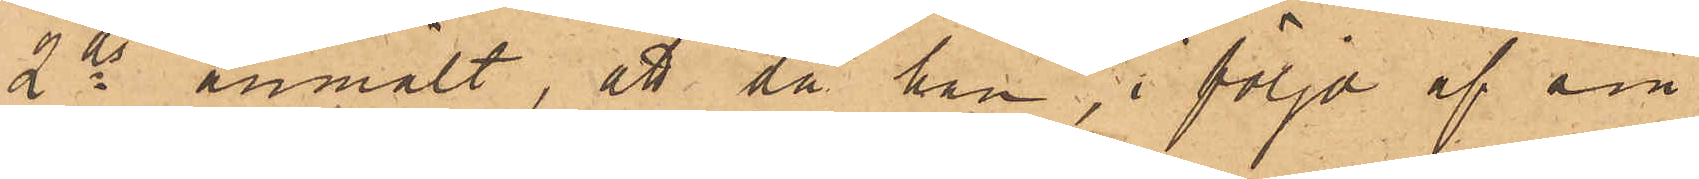2ds anmält, att då han, i följd af sin
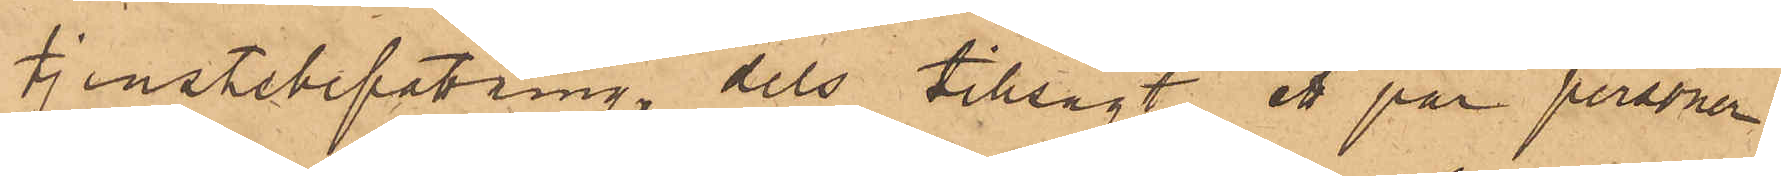tjenstebefatring, dels tillsagt ett par personer
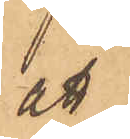att
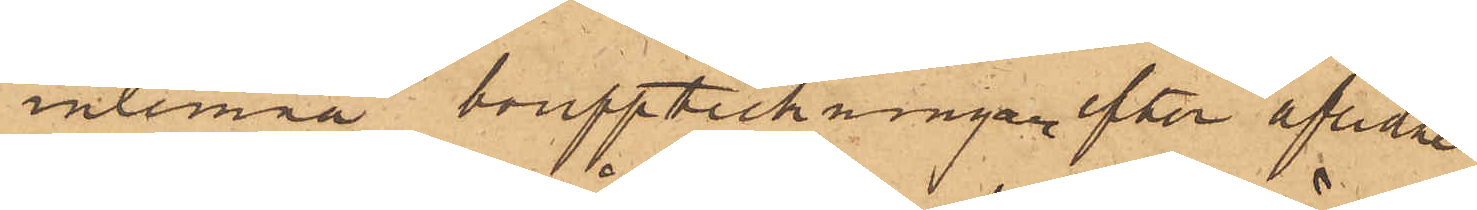inlemna bouppteckningar efter aflidne
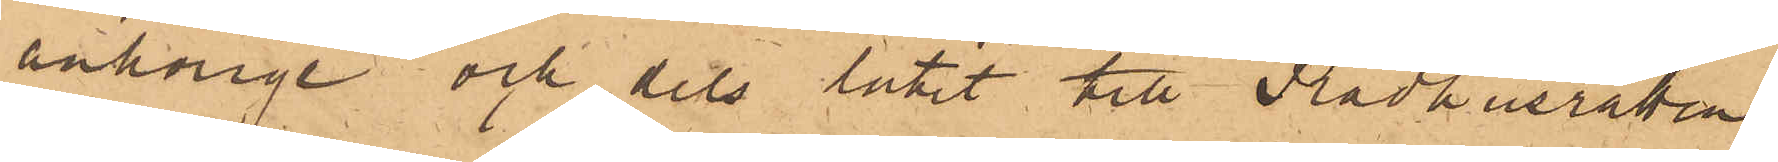anhörige och dels låtit till Rådhusrätten
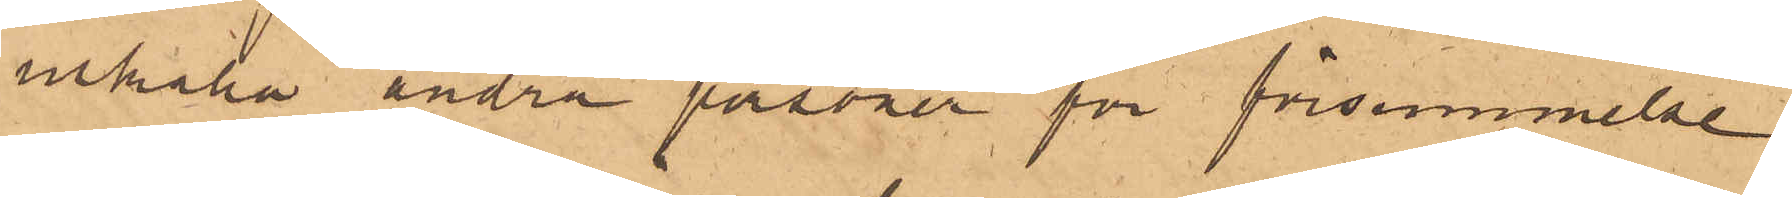inkalla andra personer för försummelse
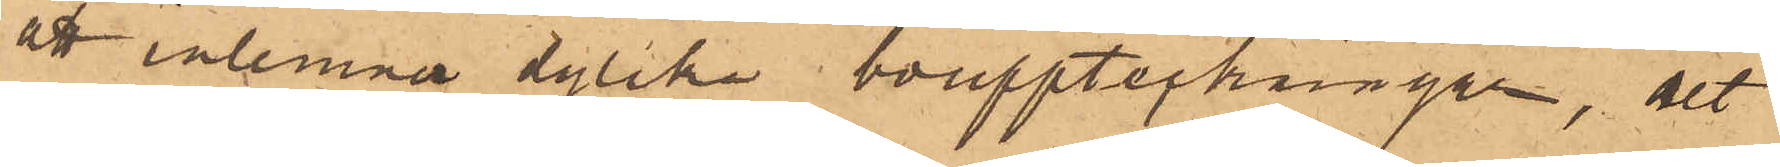att inlemna dylika bouppteckningar, det
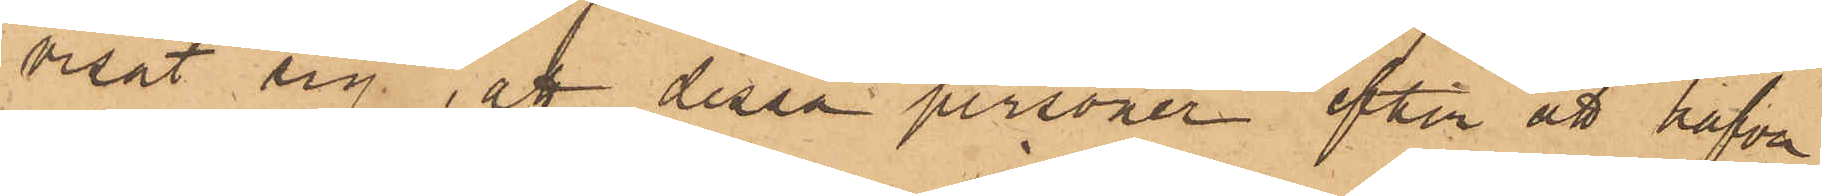visat sig, att dessa personer efter att hafva
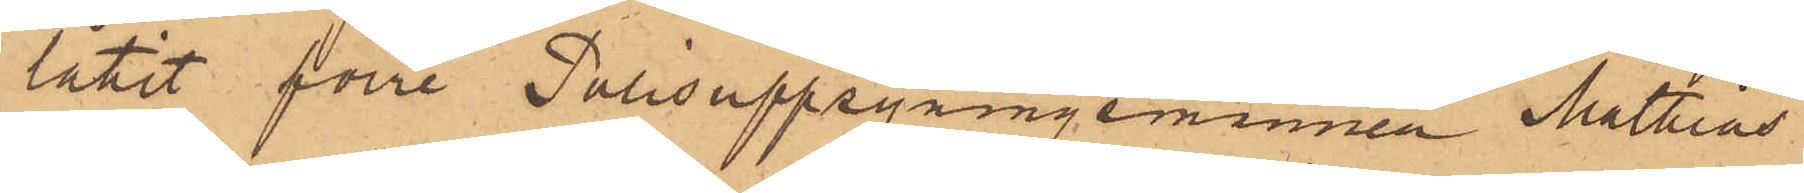låtit förre Polisuppsyningemannen Mathias
